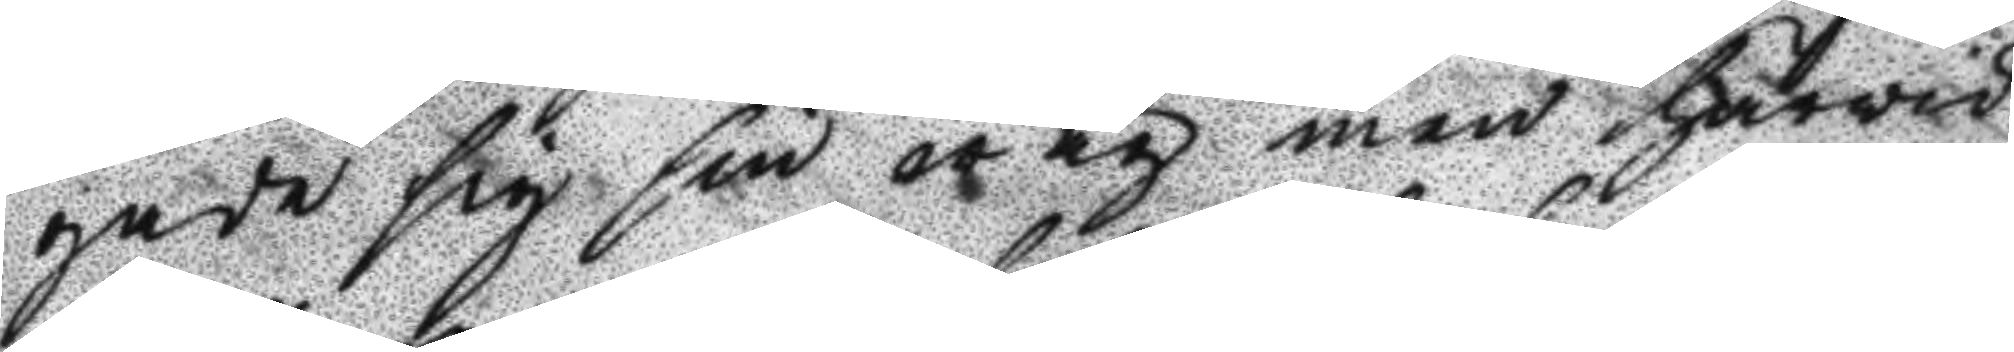gade sig sin wäg men härwid
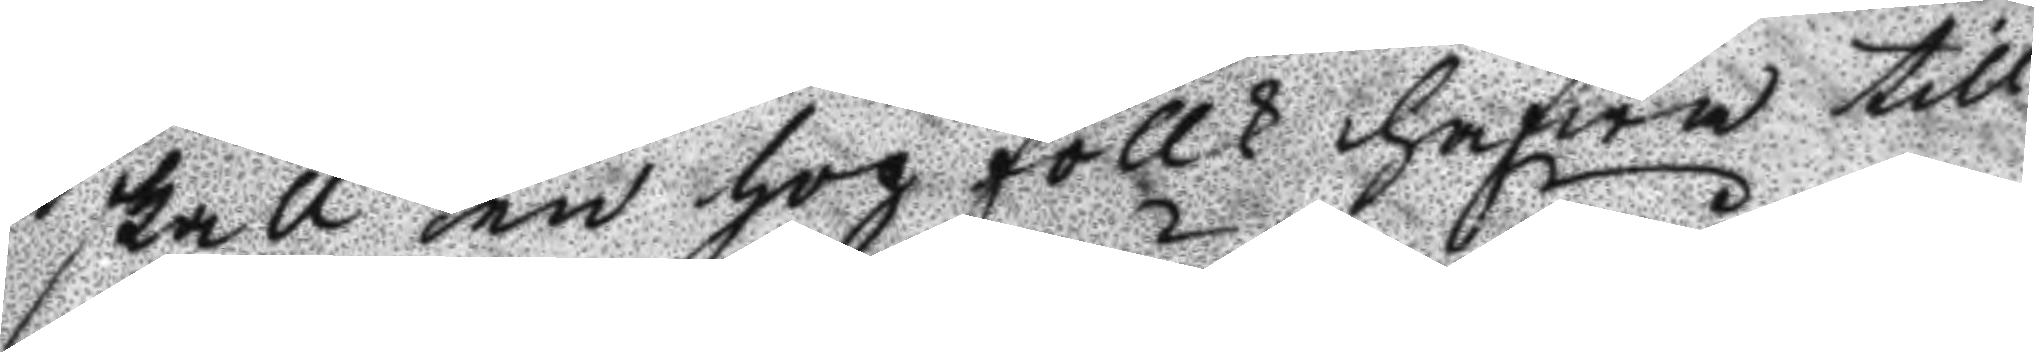skall en hop follk hafwa till¬
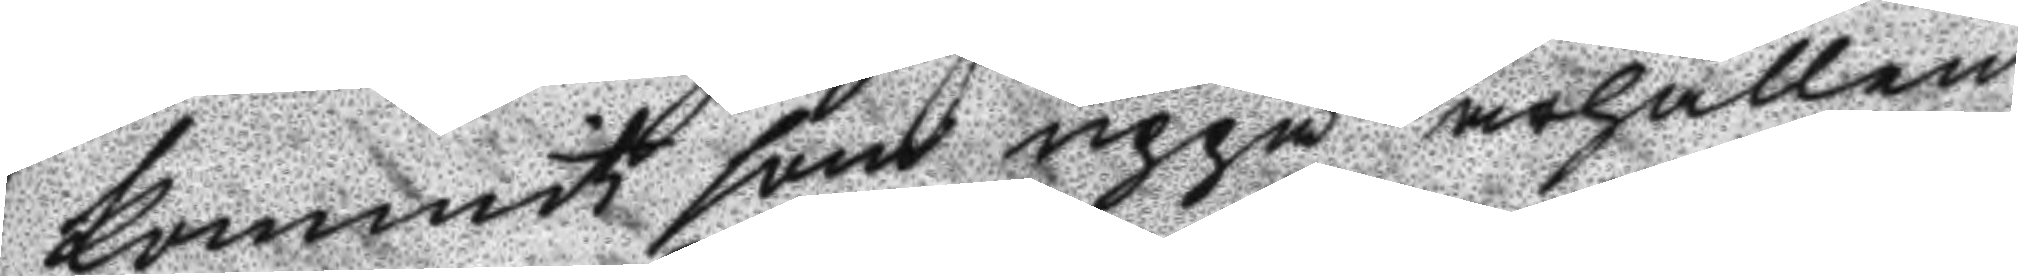kommit som uppå ärhållen
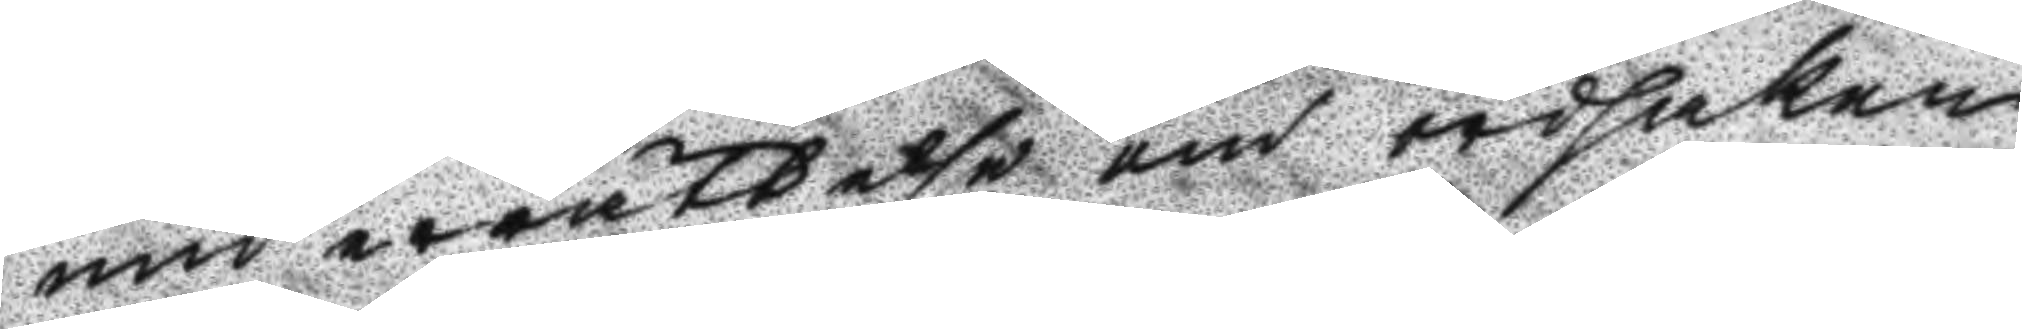underrättelse om ordsaken
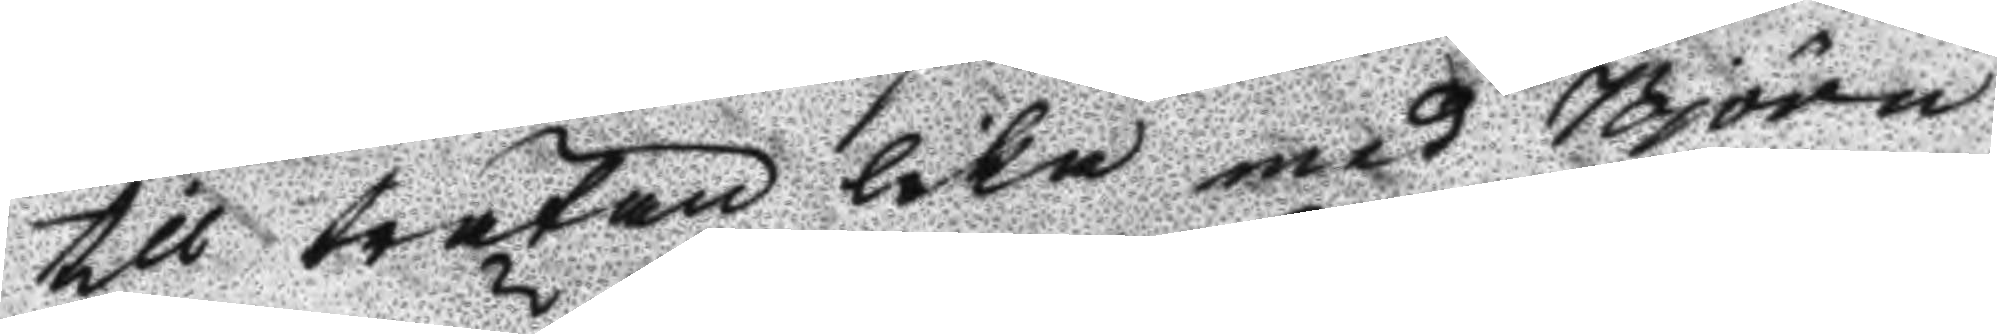till trätan lika med Björn
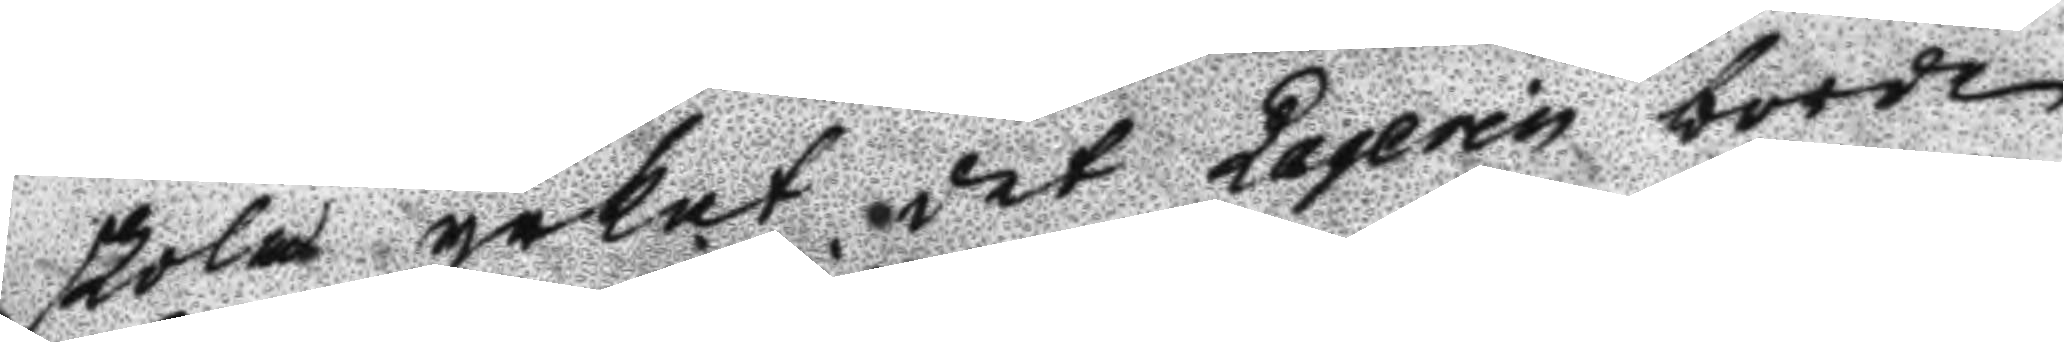skola yrkat det Laqerin borde
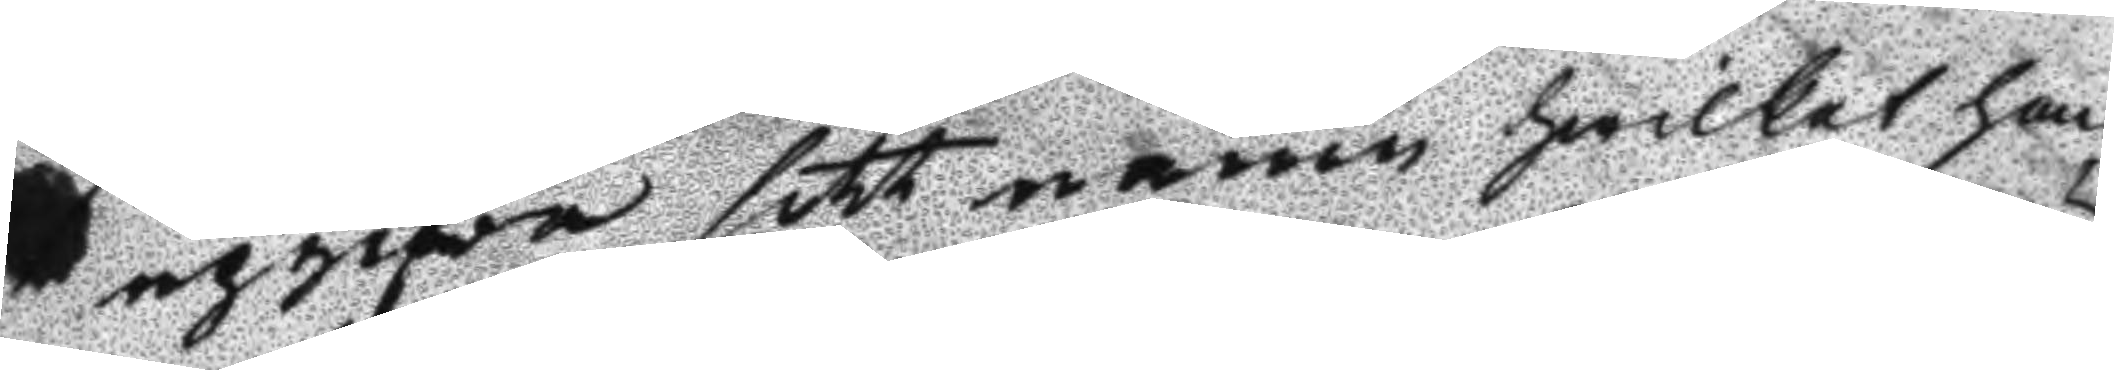upgifva sitt namn kwilket han
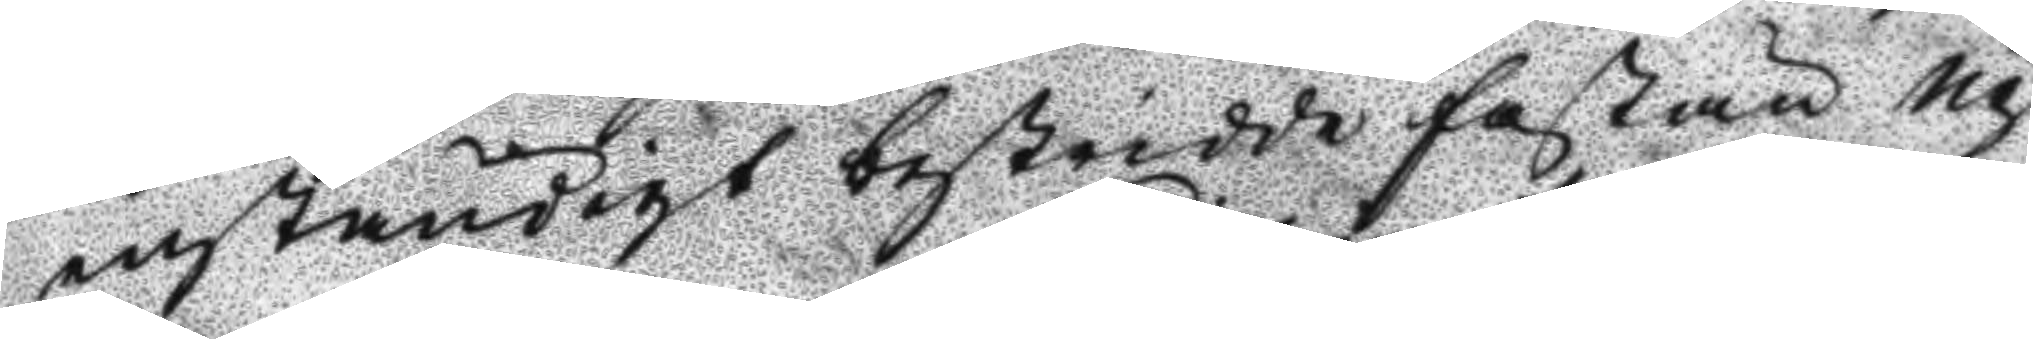enständigt bestridde fastän Up¬
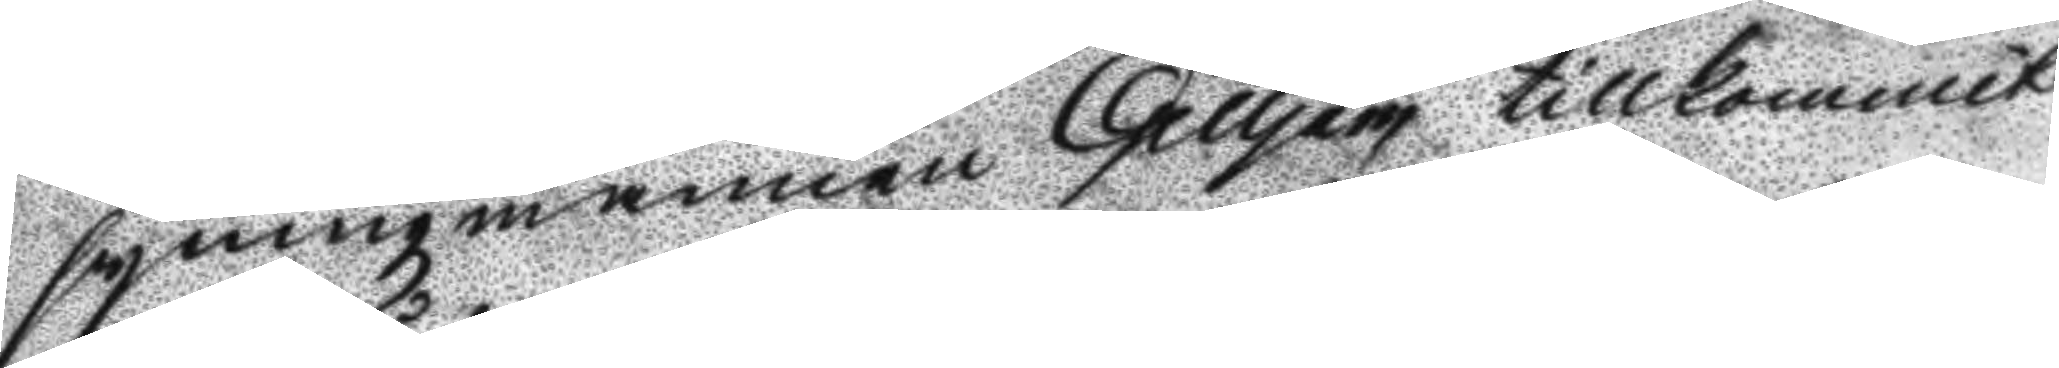syningzmannen Gilljam tillkommit
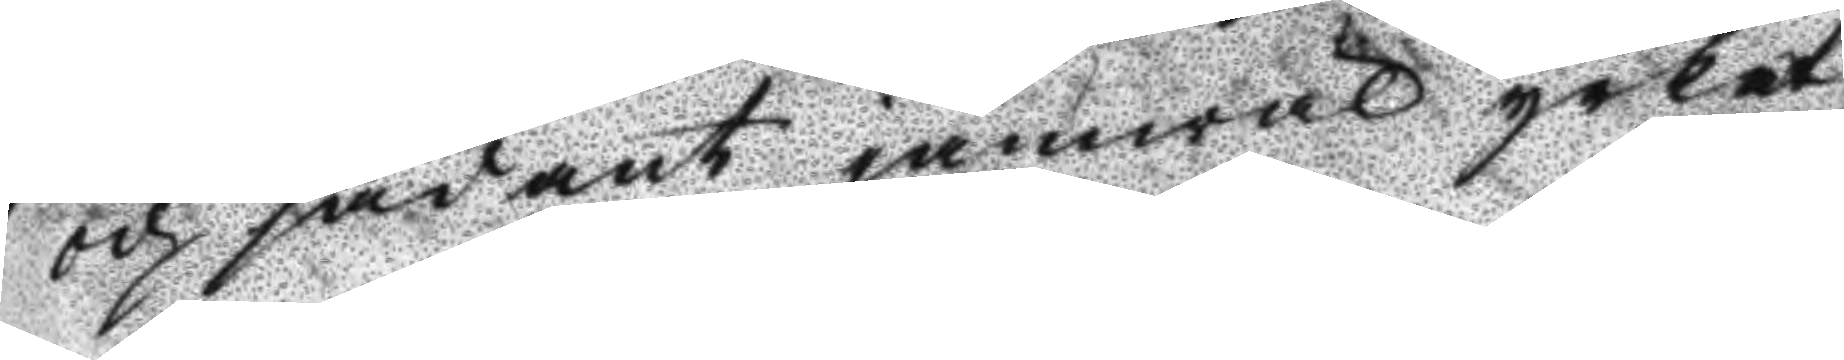och sådant jämwäl yrkat.
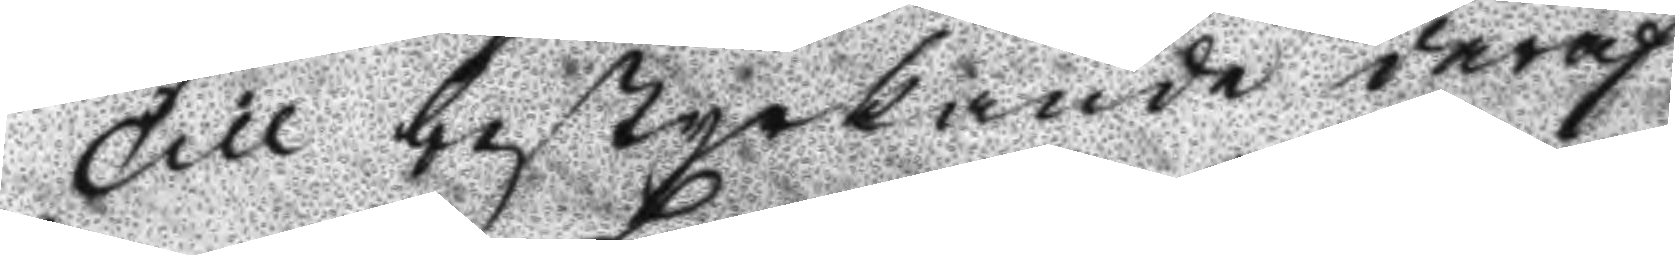Till bestyrkande deraf
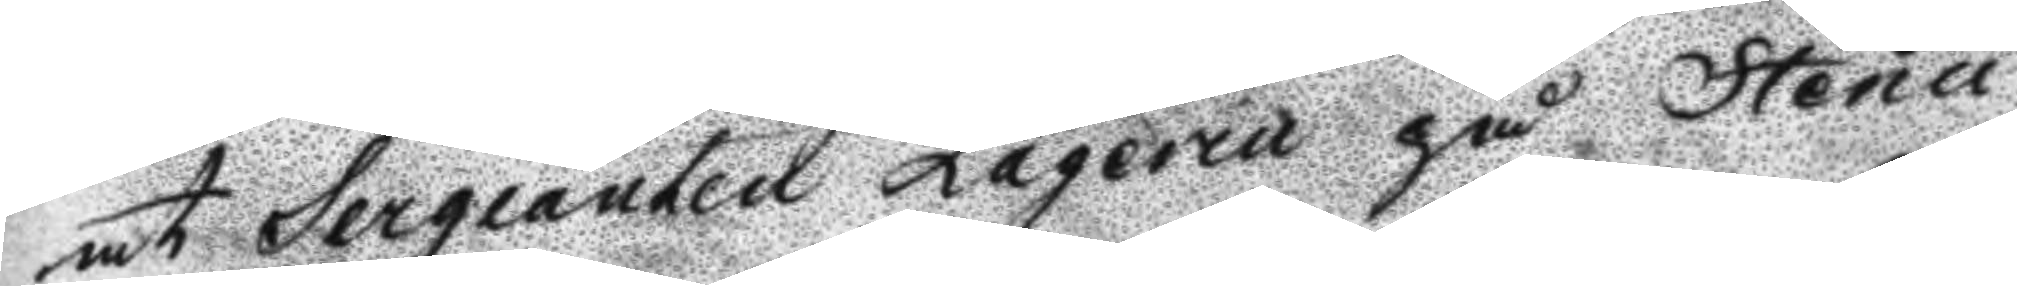at Sergeant Laqerin på Stenu
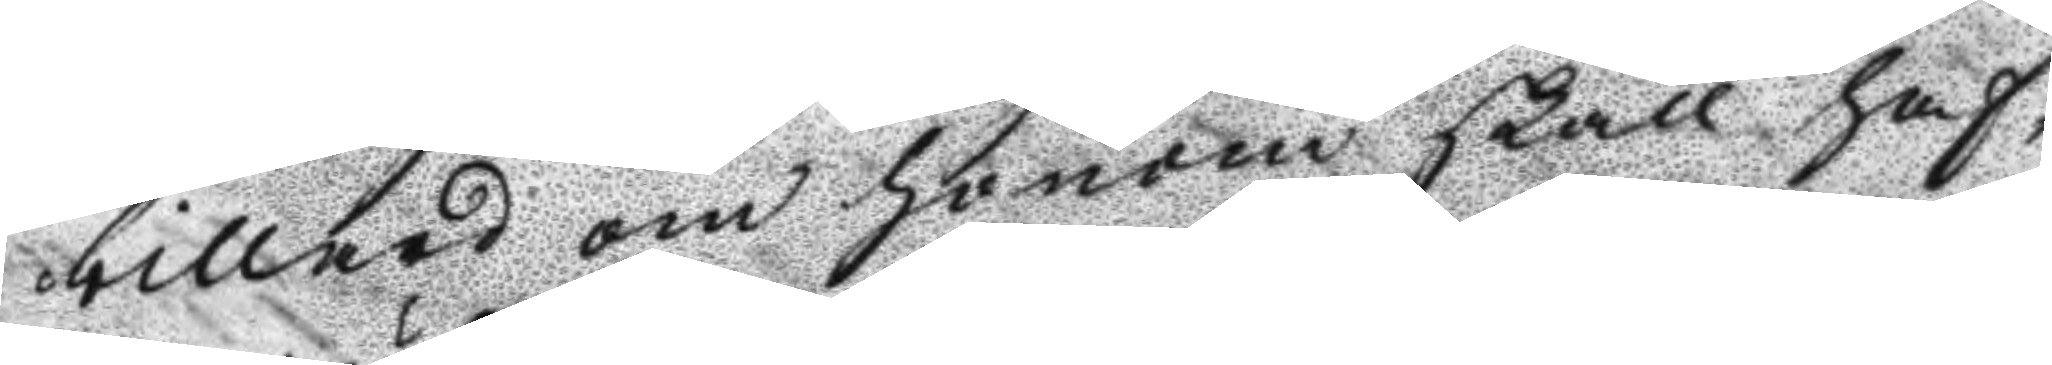billard om honom skall haf¬
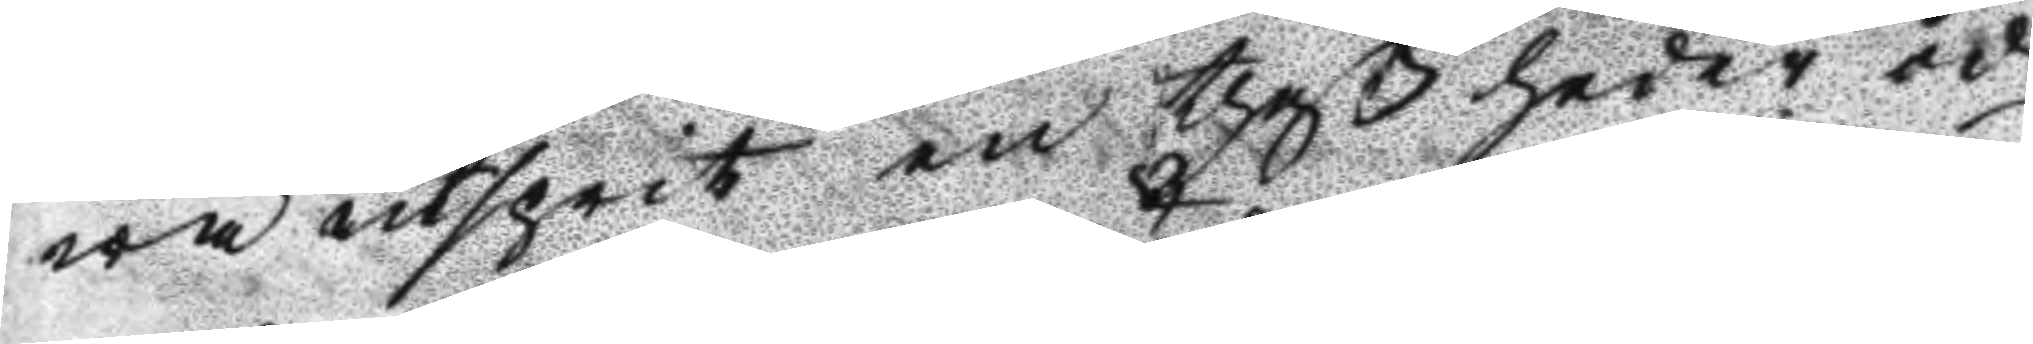wa utsprit en theß heder och
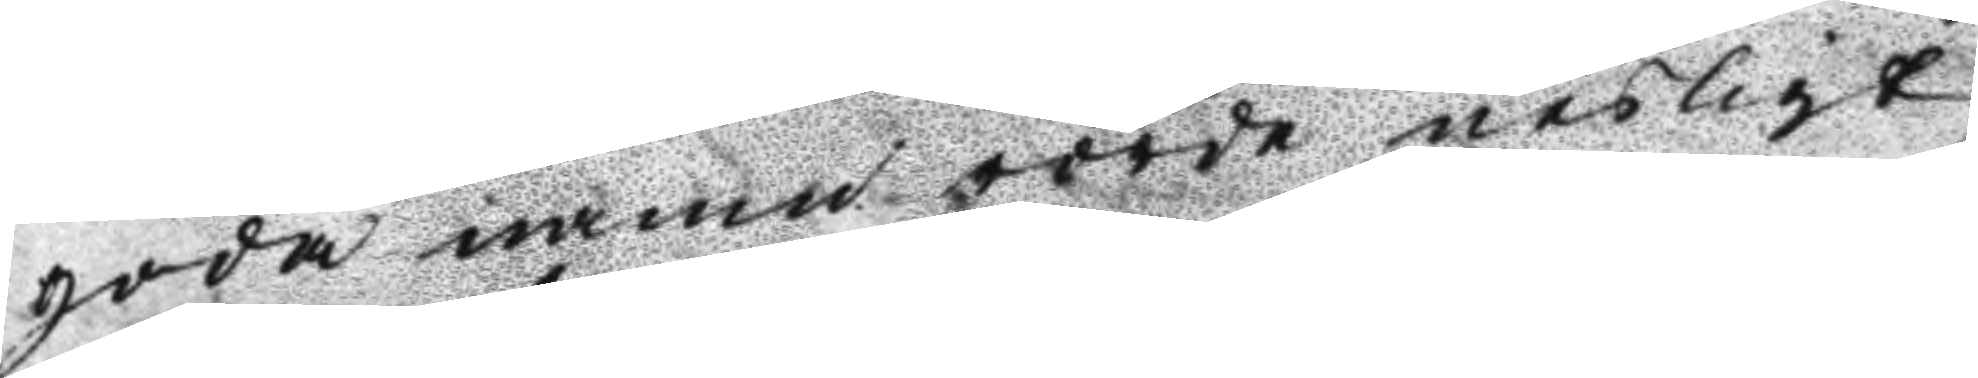goda namn rörde nesligt
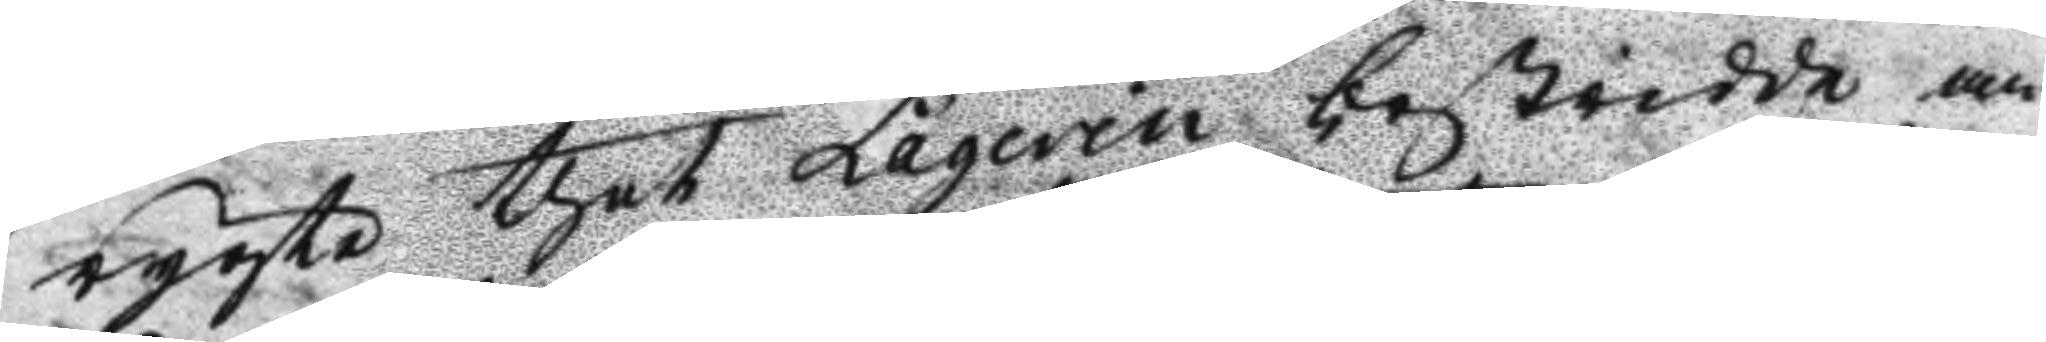rygte thet Laqerin bestridde an
